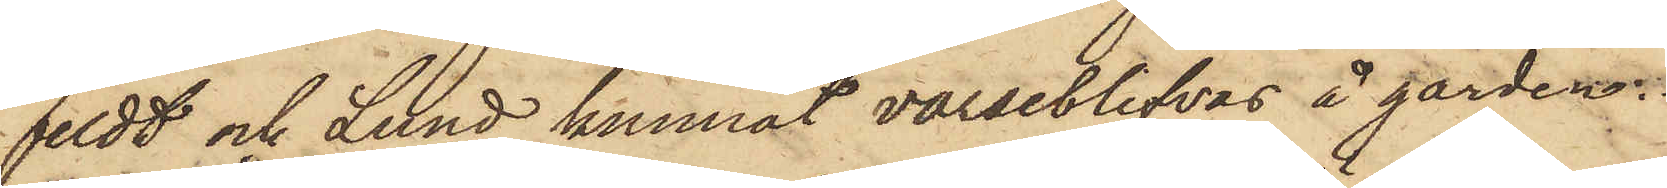feldt och Lund kunnat varseblifvas å gården:
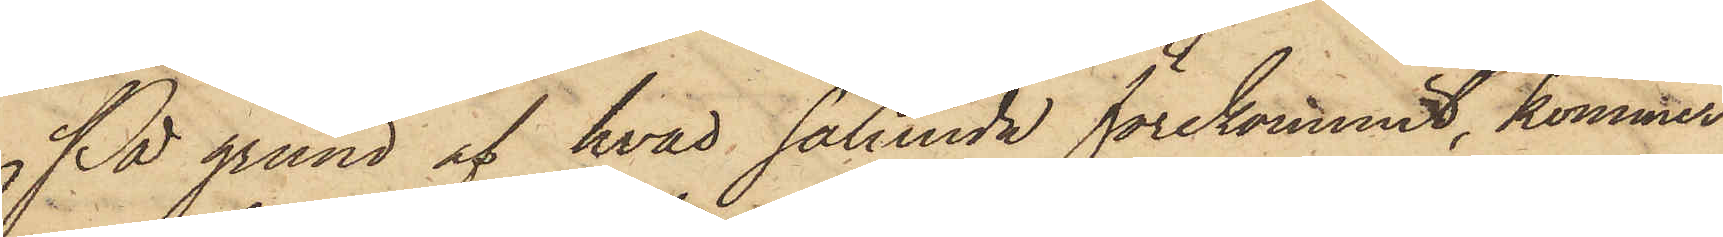På grund af hvad sålunda förekommit, kommer
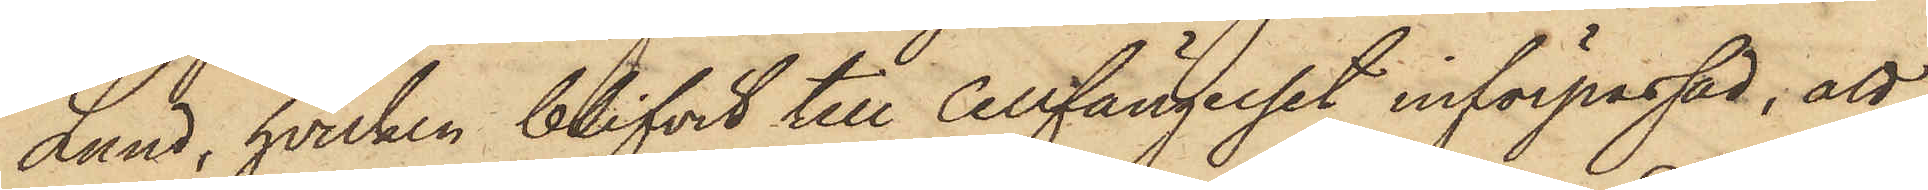Lund, hvilken blifvit till Cellfängelset införpassad, att
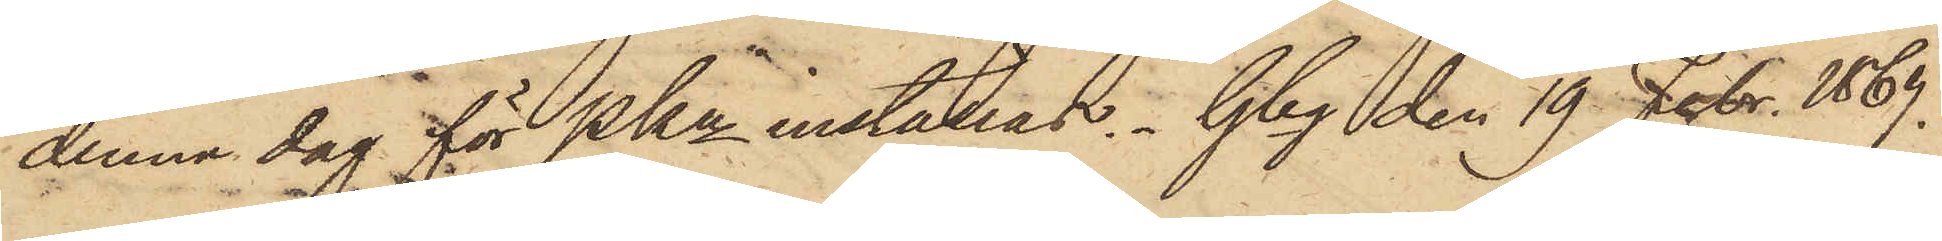denna dag för PKn inställas. Gbg den 19 Febr. 1867.
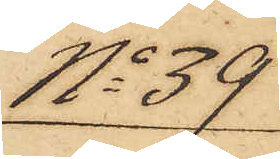No 39
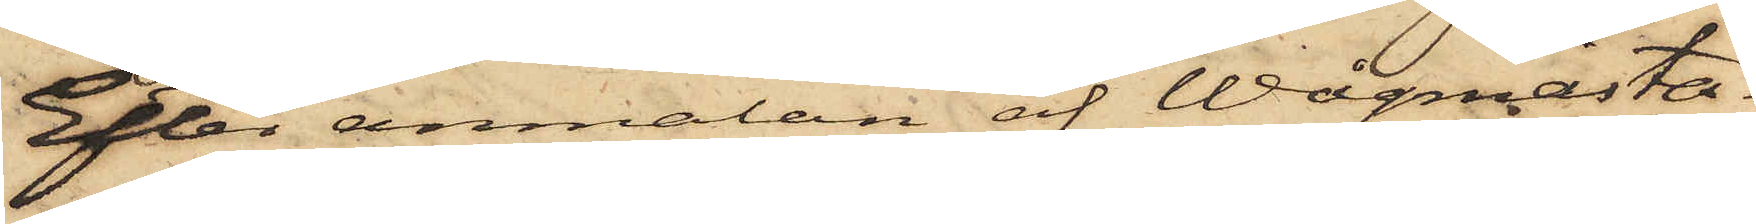Efter anmälan af Wågmästa¬
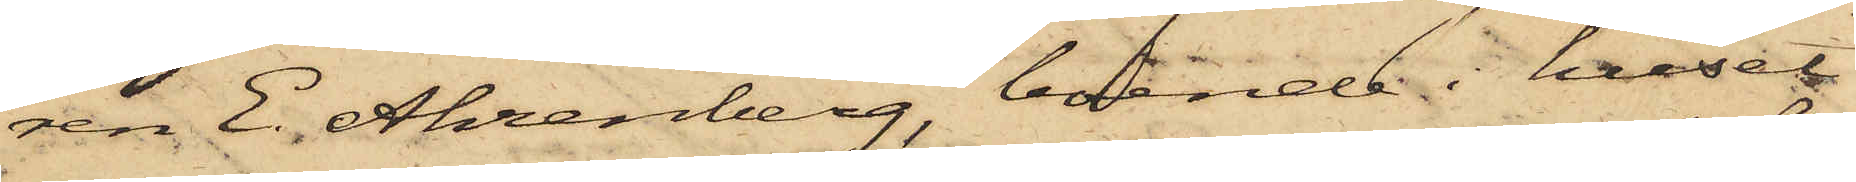ren E. Ahrenberg, boende i huset
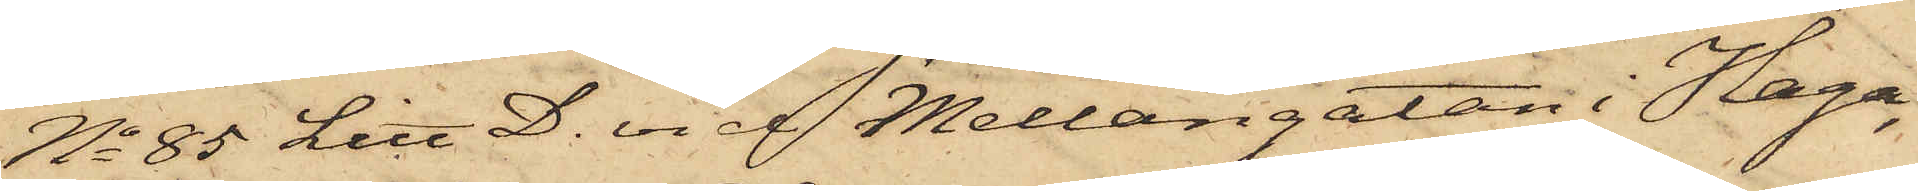No 85 Litt D. vid Mellangatan i Haga,
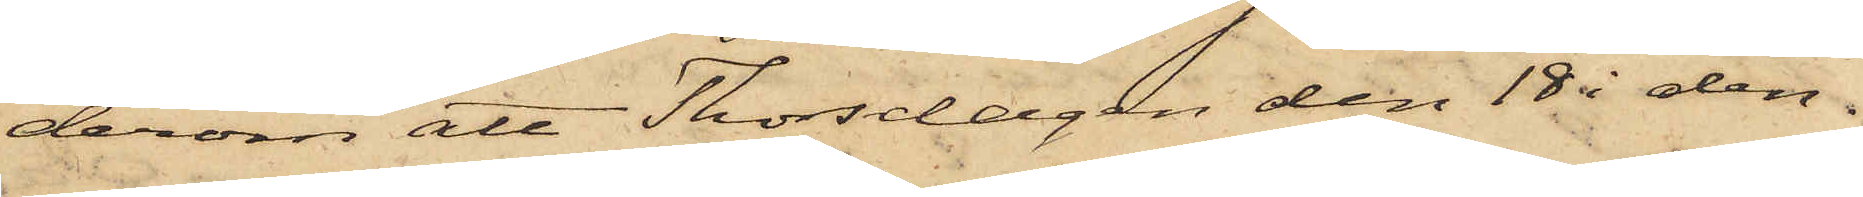derom att Thorsdagen den 18 i den¬
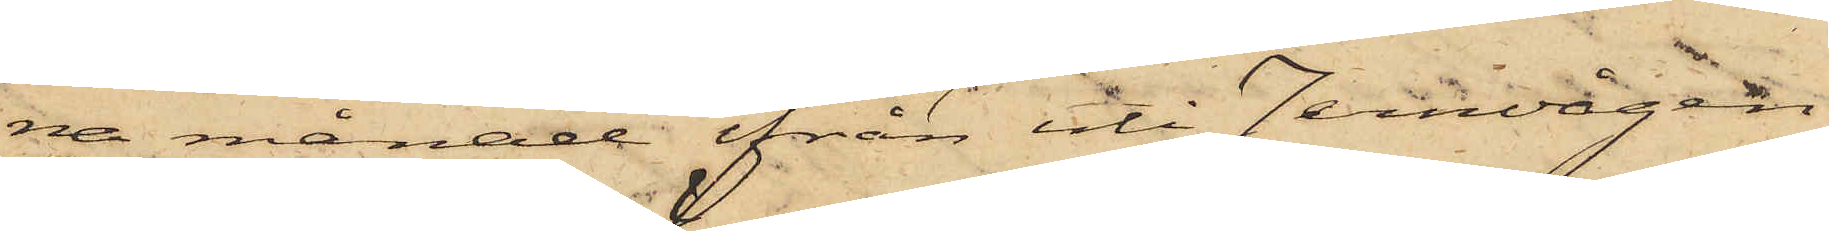na månad från uti Jernvågen
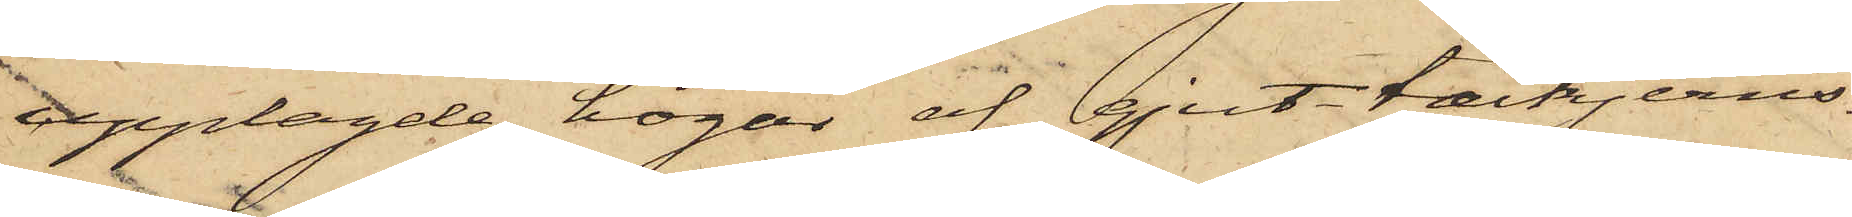upplagde högar af gjut-tackjerns¬
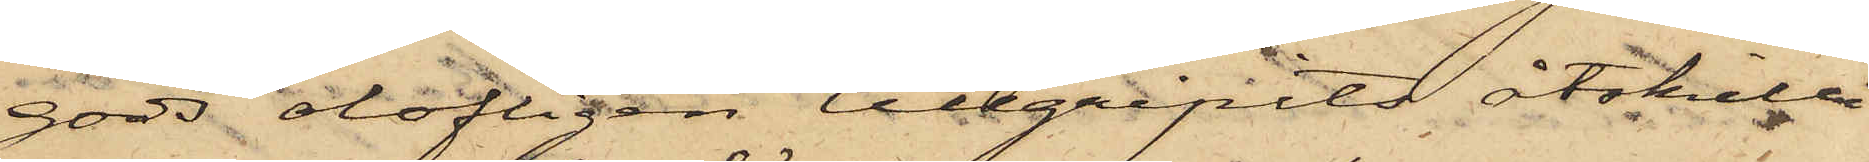gods olofligen tillgripits åtskilli¬
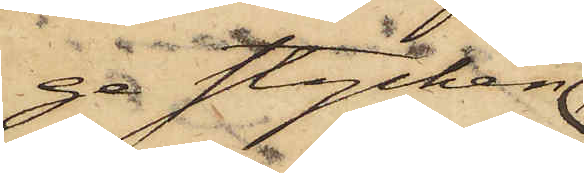ga stycken
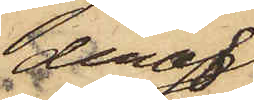deraf,
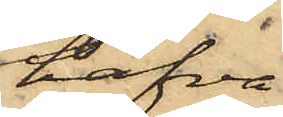hafva
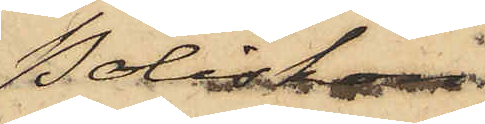Poliskon¬
